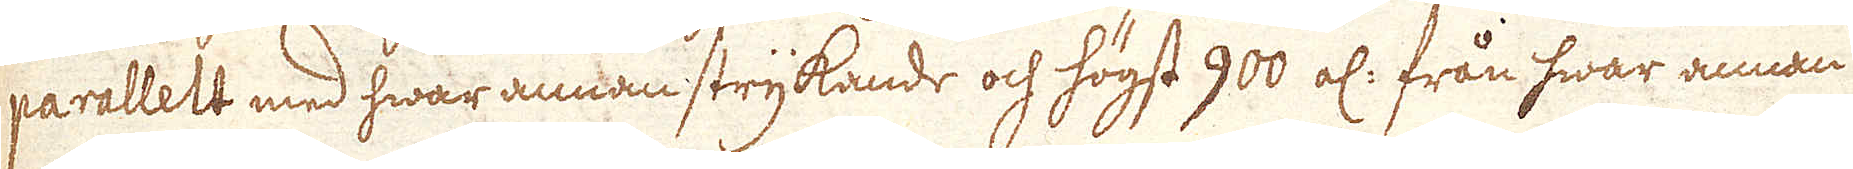parallett med hwar annan strykande och högst 900 al: från hwar annan
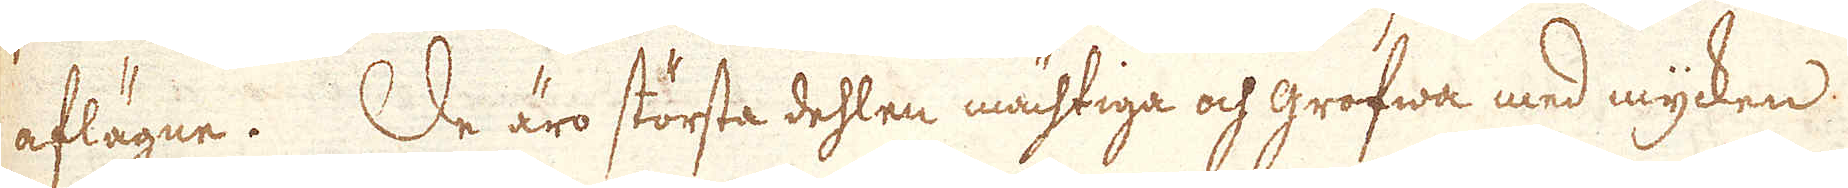aflägne. De äro största dehlen mächtiga och grofwa med mycken
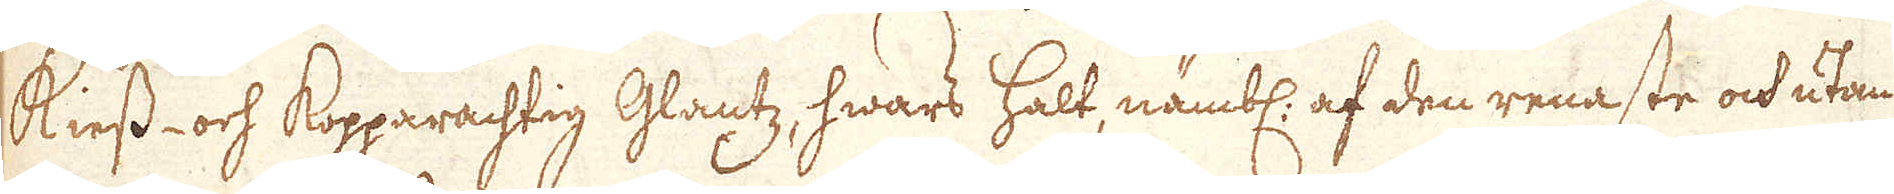kiess- och kopparachtig Glantz, hwars halt, nämbl. af den renaste och utan
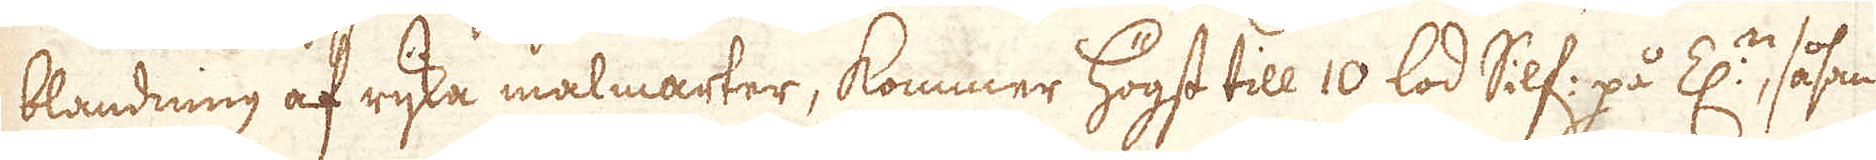blandning af rijka malmarter, kommer högst till 10 lod Silf: på Z:n, såsom
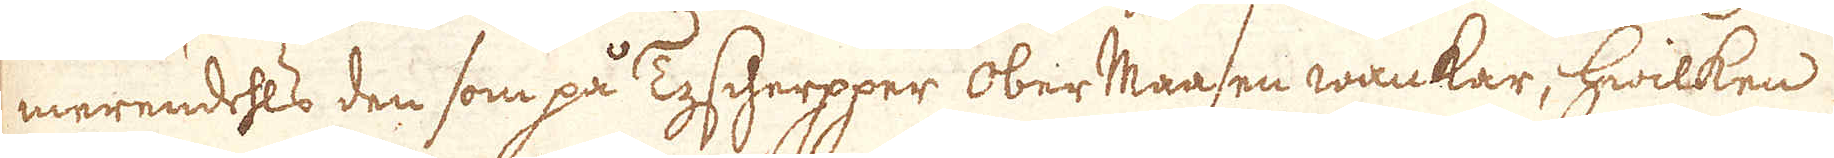merendehls den som på Tyscherpper oberMaasen wankar, hwilken
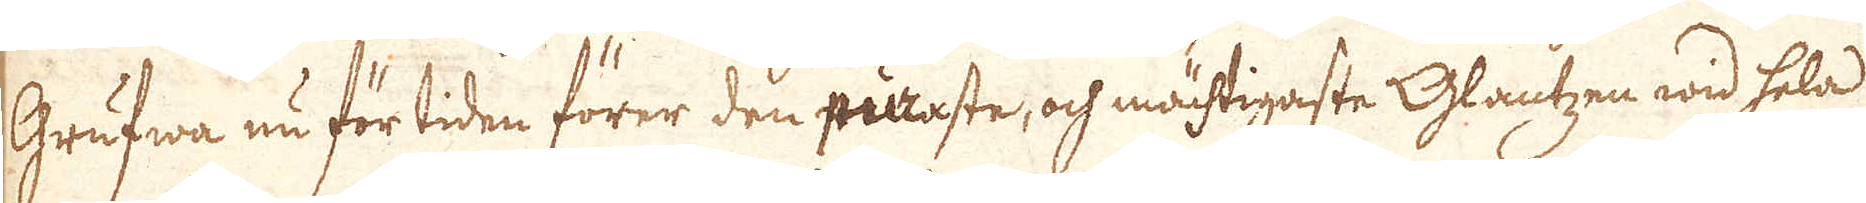Grufwa nu för tiden förer den puraste, och mächtigaste Glantzen wid hela
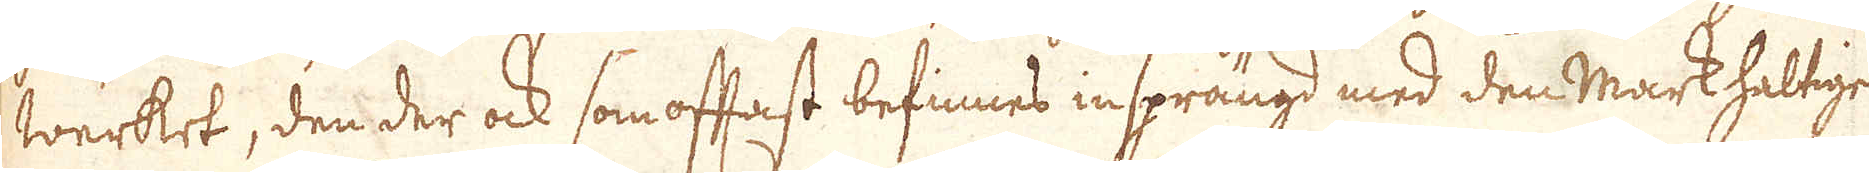werket, den der ock som oftast befinnes insprängd med den mark haltige
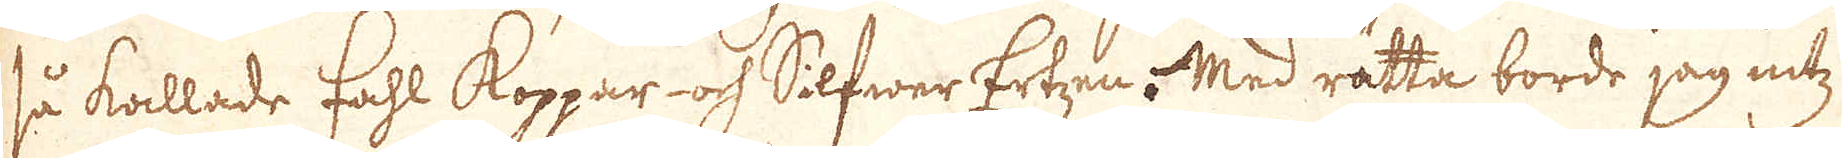så kallade fahl koppar och Silfwer Ertzen. Med rätta borde jag intz
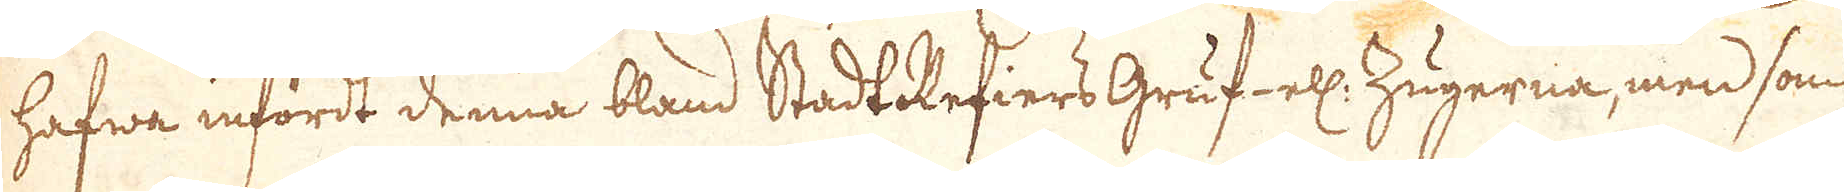hafwa infördt denna bland Stadt Refiers Gruf- ell: Zugerna, men som
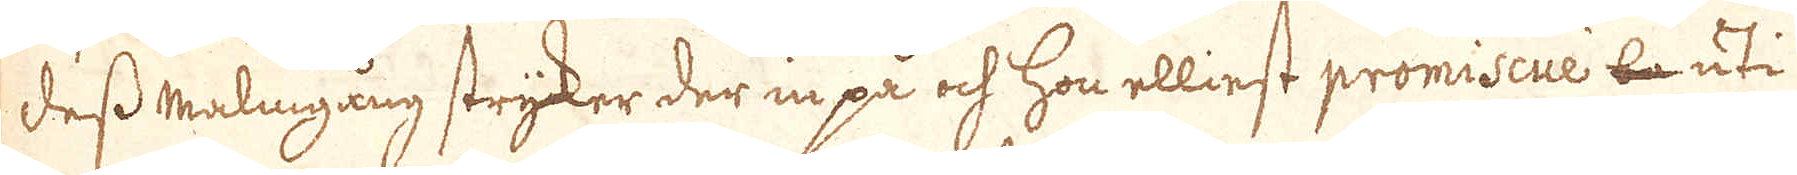dess malmgång stryker der in på och hon elliest promiscuè la uti
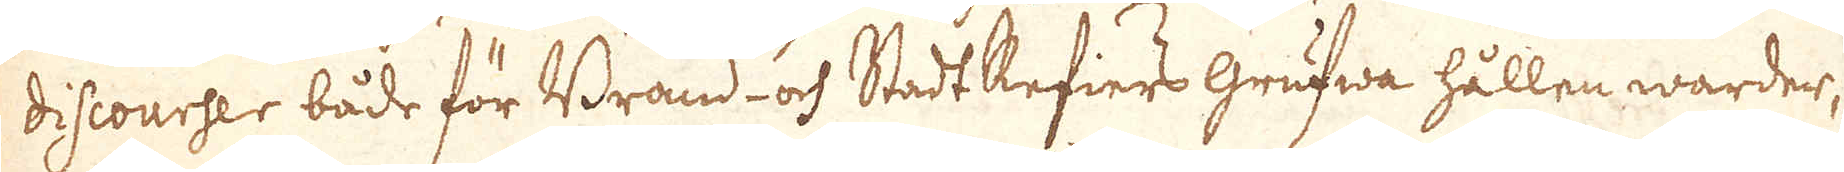discourser både för Brand- och Stadt Refiers grufwa hållen warder,
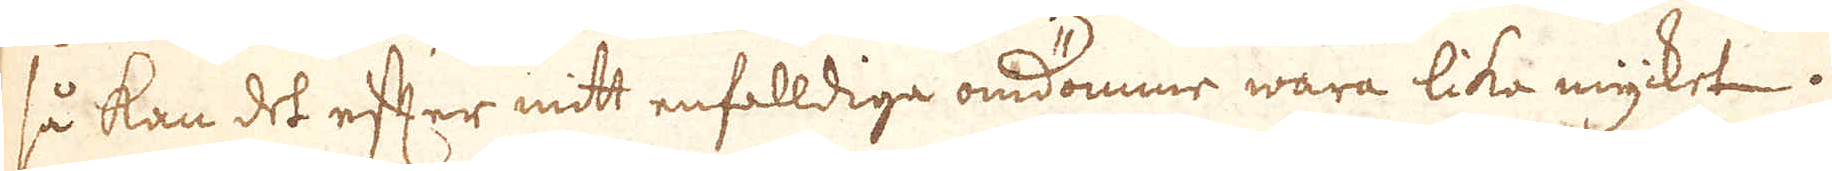så kan det efter mitt enfalldiga omdömme wara lika mycket.
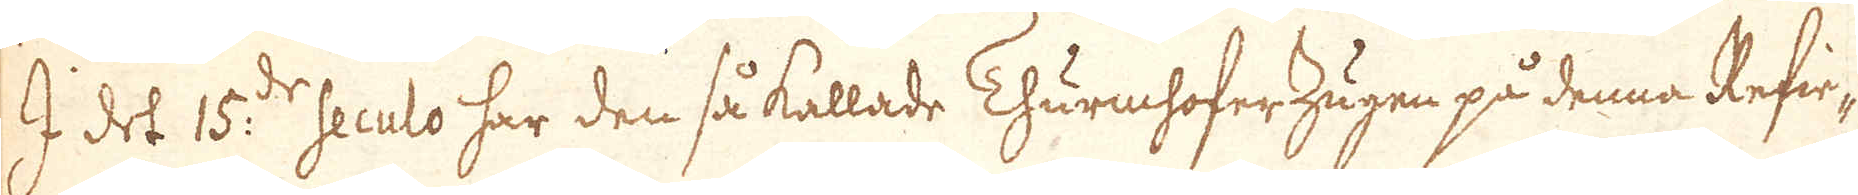I det 15:de seculo har den så kallade ThurmhoferZugen på denna Refie-
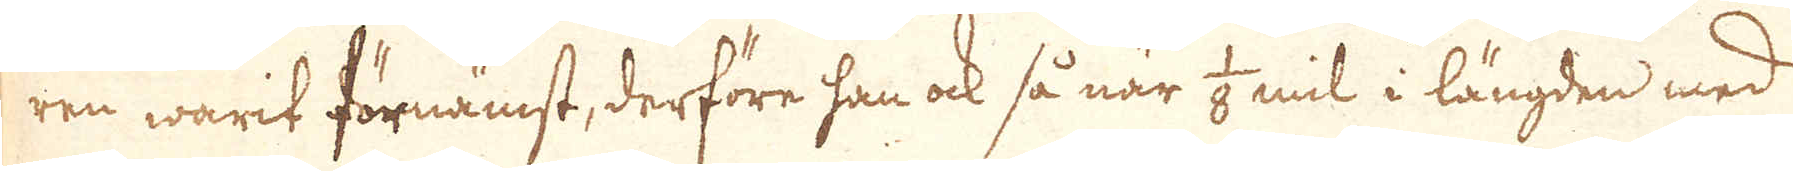ren warit förnämst, derföre han ock så när 1/8 mil i längden med
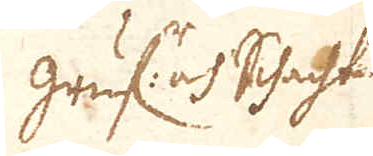gruf:r och Schacht
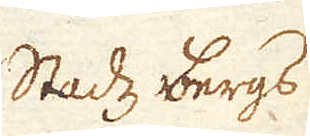Stadz bergs
